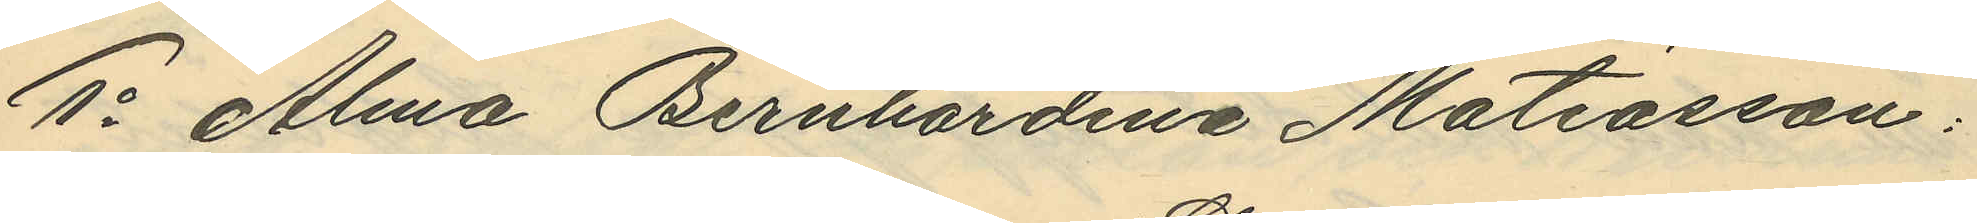1o Alma Bernhardina Matiasson:
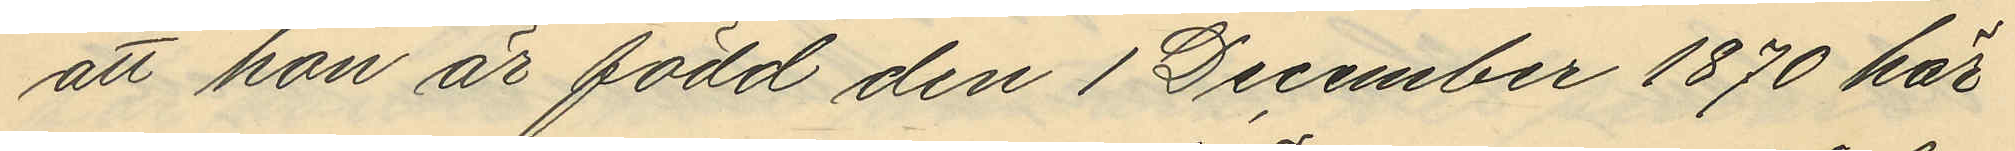att hon är född den 1 December 1870 här
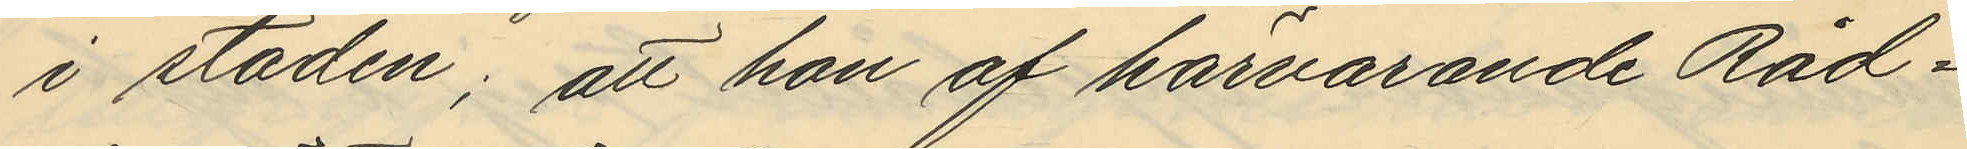i staden; att hon af härvarande Råd¬
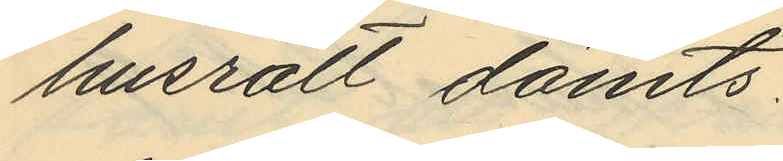husrätt dömts:
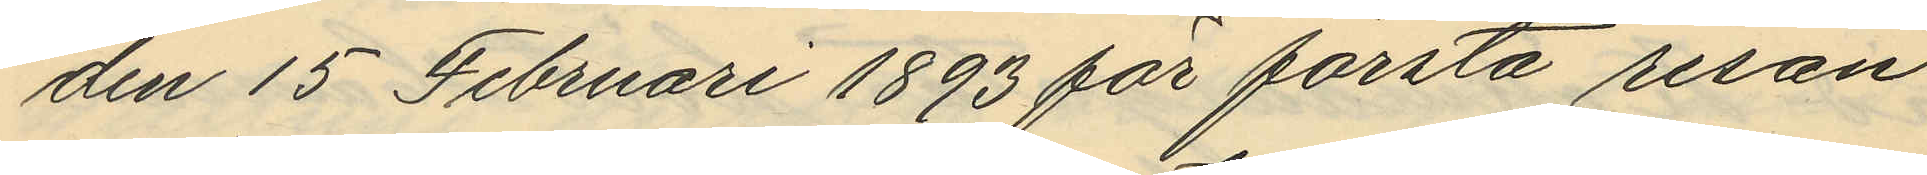den 15 Februari 1893 för första resan
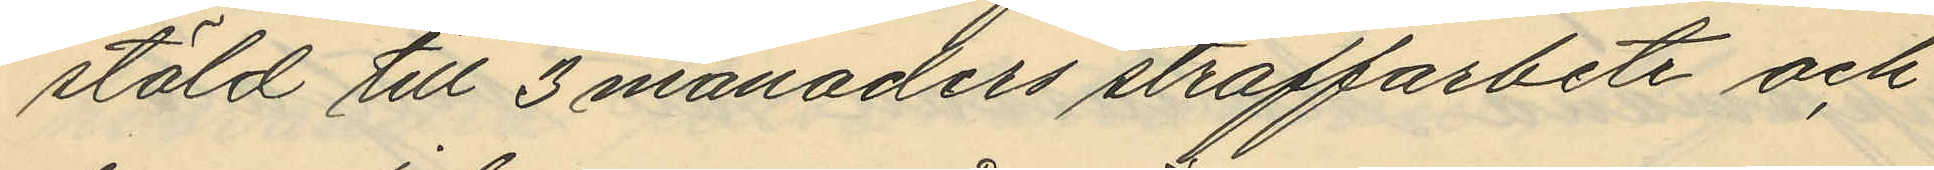stöld till 3 månaders straffarbete och
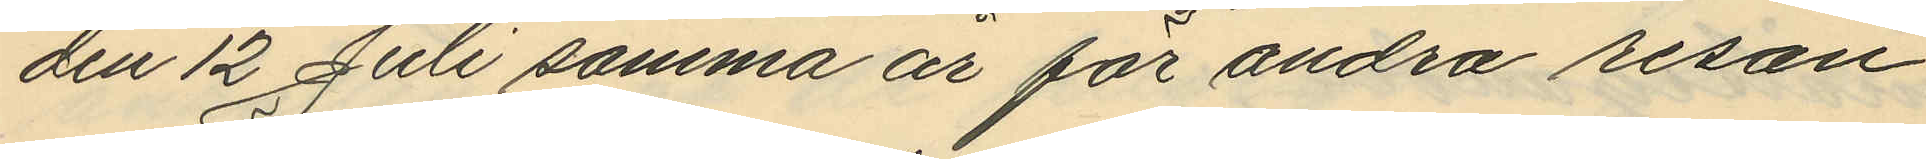den 12 Juli samma år för andra resan
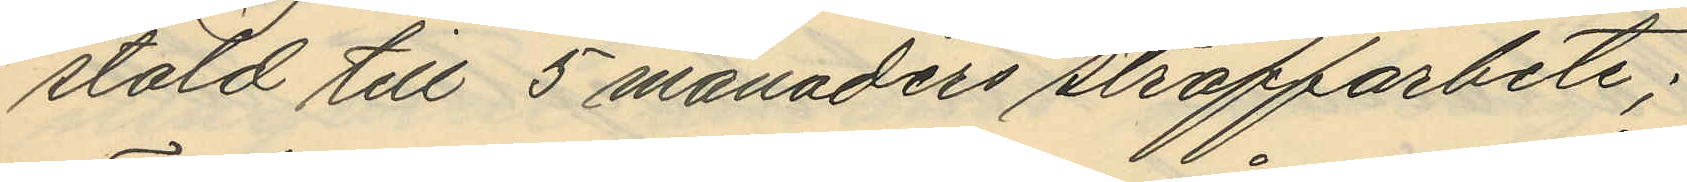stöld till 5 månaders straffarbete;
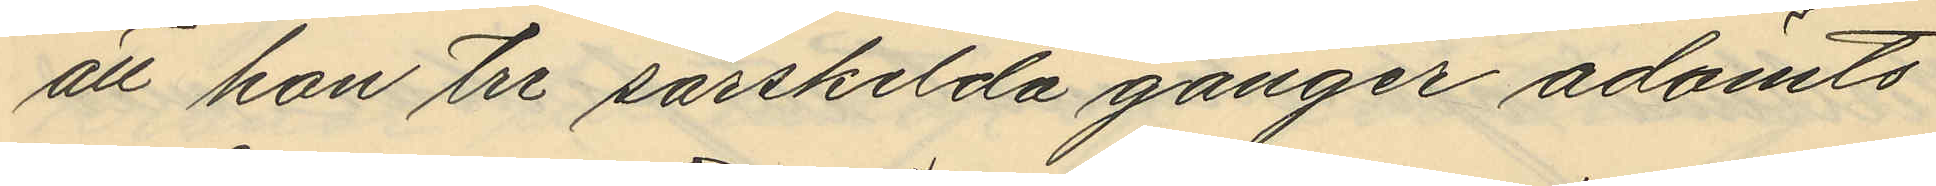att hon tre särskilda gånger ådömts
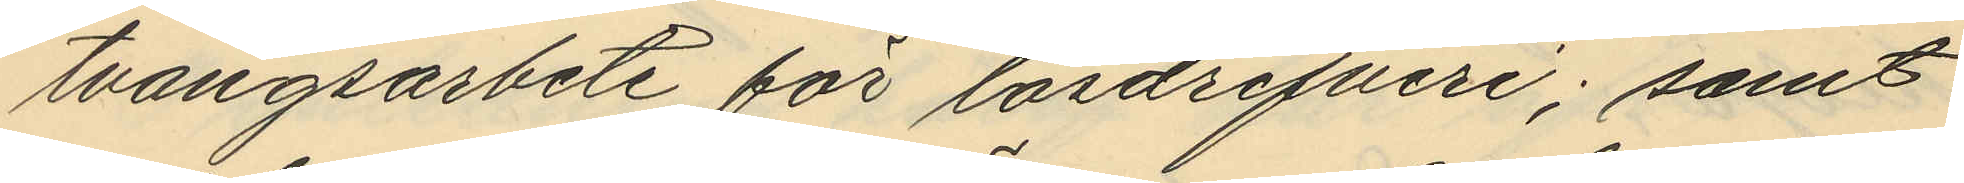tvångsarbete för lösdrifveri; samt
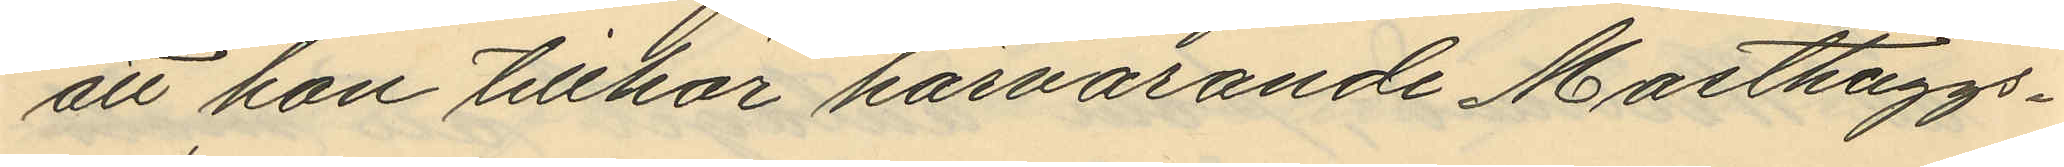att hon tillhör härvarande Masthuggs¬
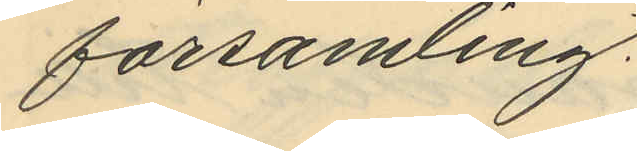församling.
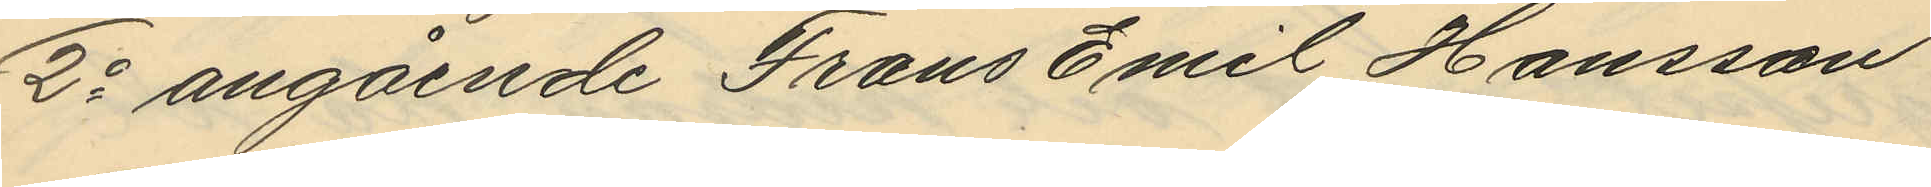2o angående Frans Emil Hansson
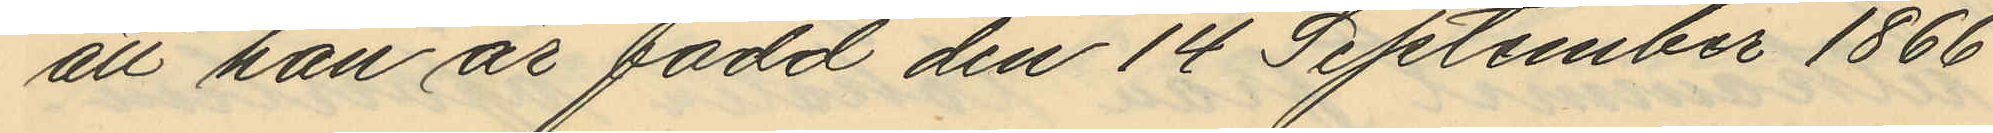att han är född den 14 September 1866
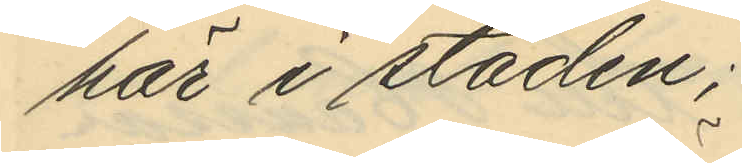här i staden;
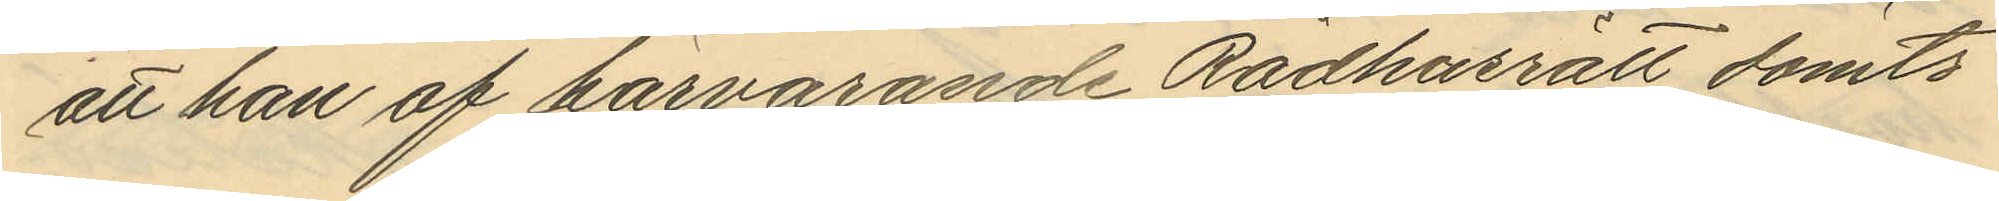att han af härvarande Rådhusrätt dömts
